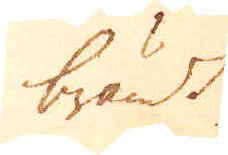brändt
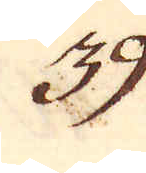39.
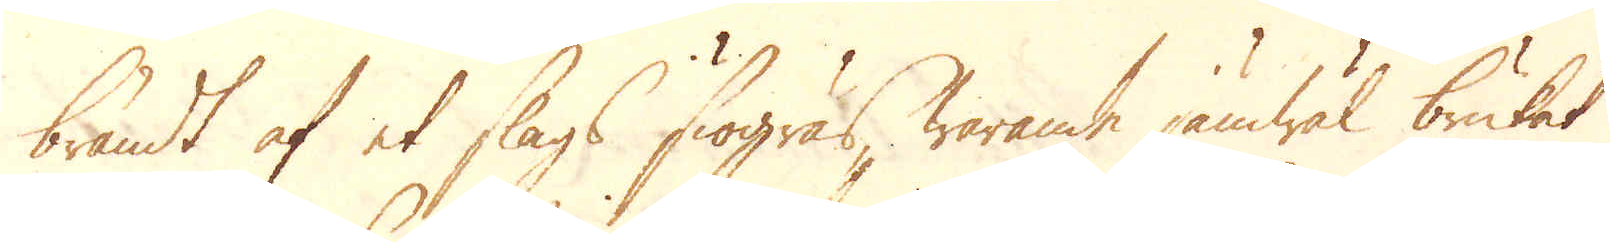brändt af et slags siögräs, warande jämwäl brukat
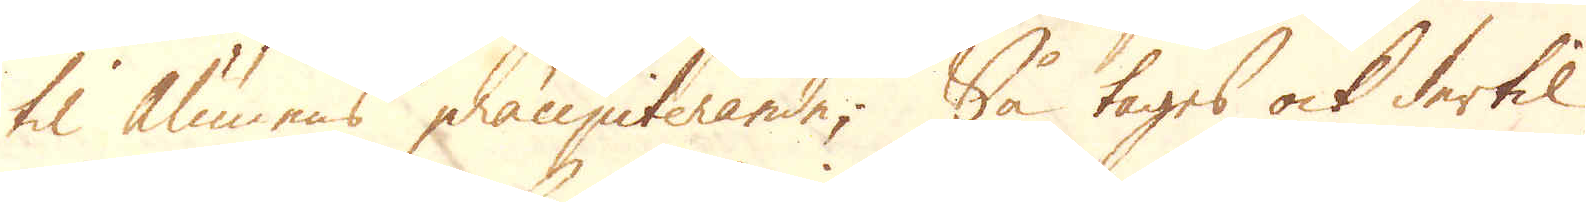til Alumens präcipiterande; Så tages ock dertil
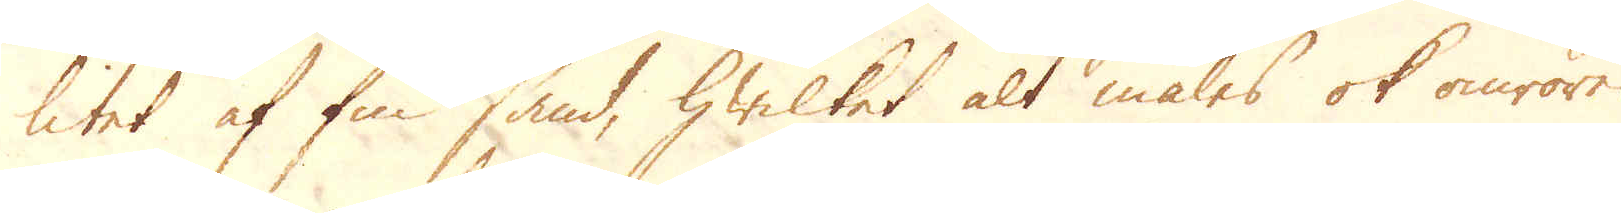litet af fin sand, hwilket alt males ok omröres
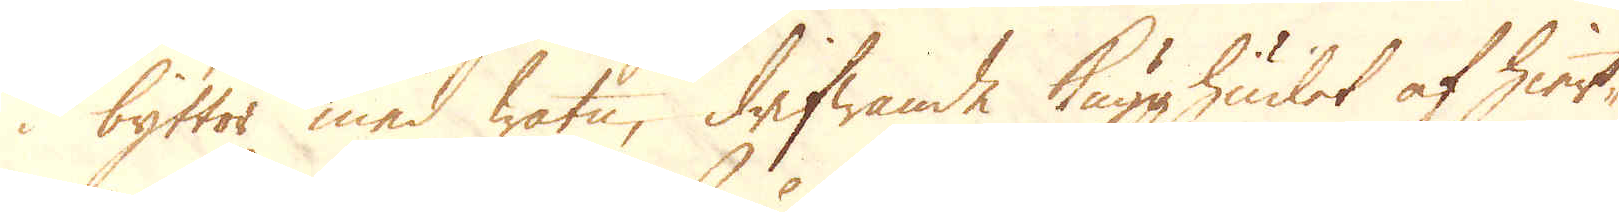i byttor med watn, drifwande Kugghiulet af hiul-
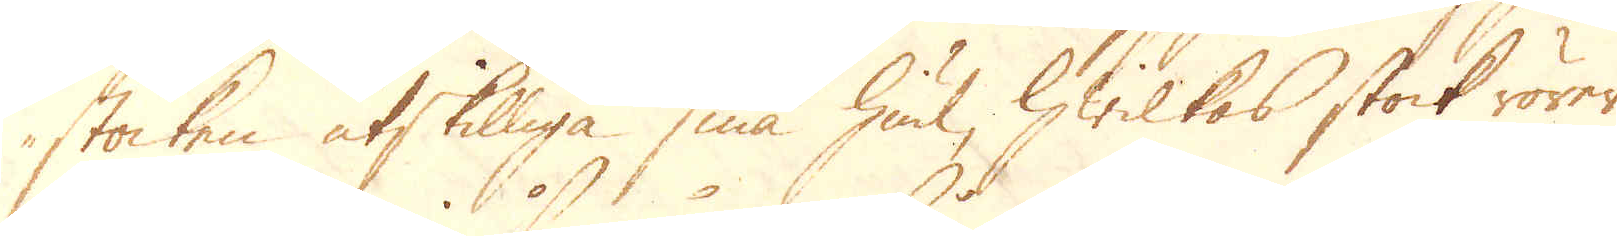stocken åtskilliga små hiul, hwilkas stock rörer
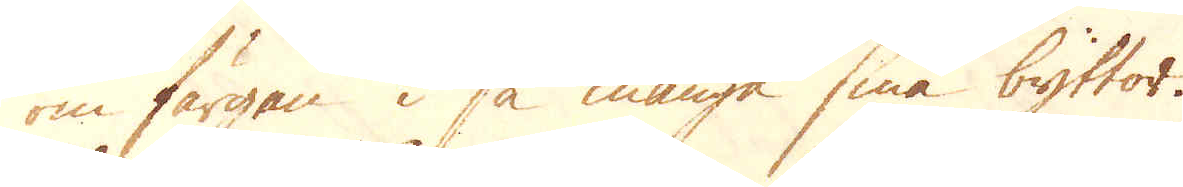om färgen i så många små byttor.
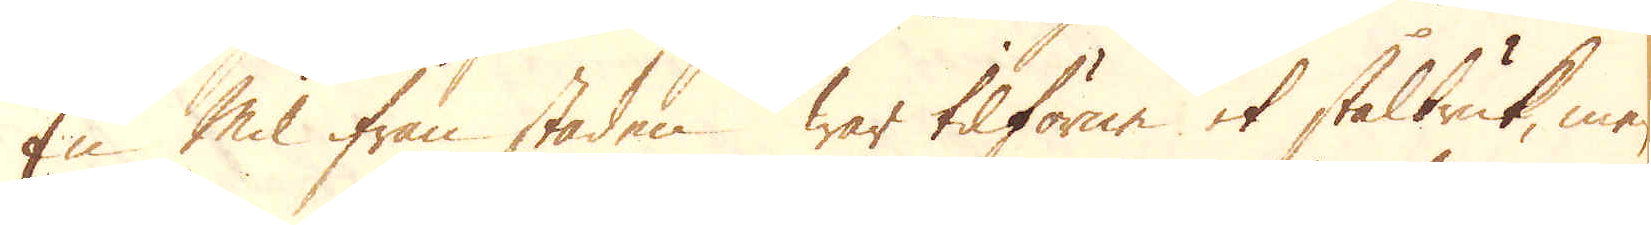En mil från staden war tilförne et stålbruk, men
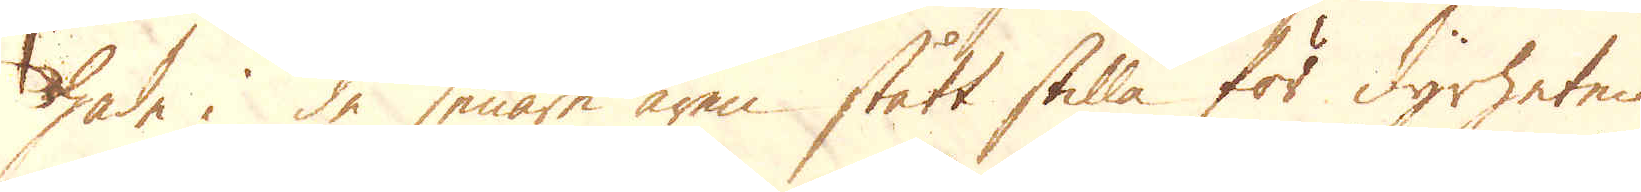hade i de senare åren stått stilla för dyrheten
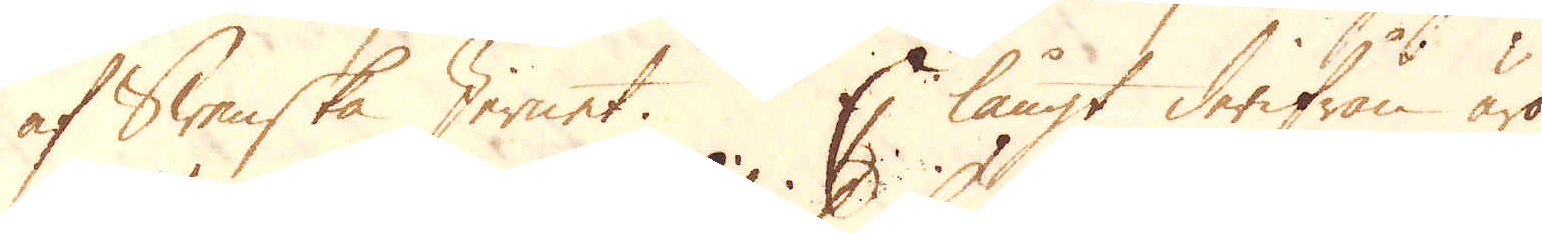af Swenska Jernet. Ej långt derifrån äro
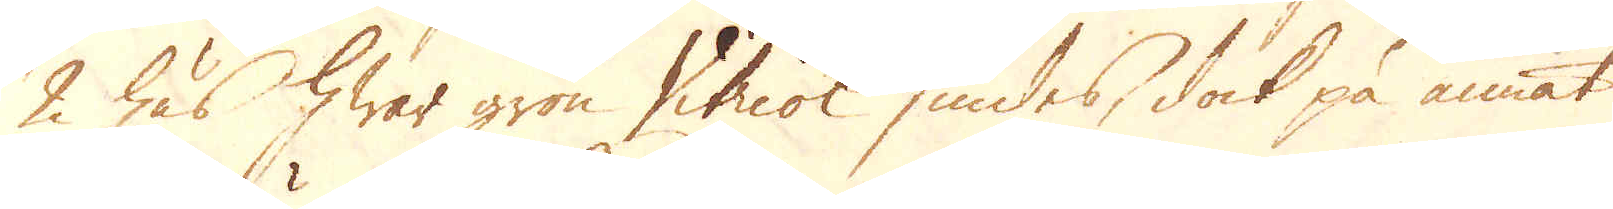2 hus hwar grön Vitriol siudes, dock på annat
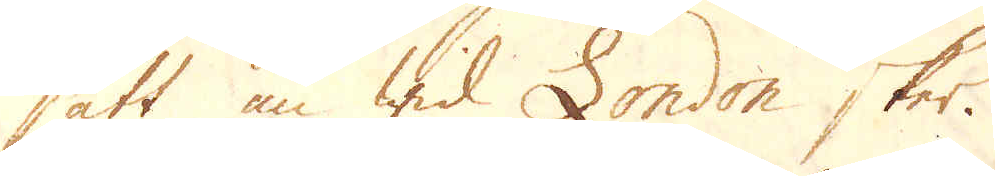sätt än wid London sker.
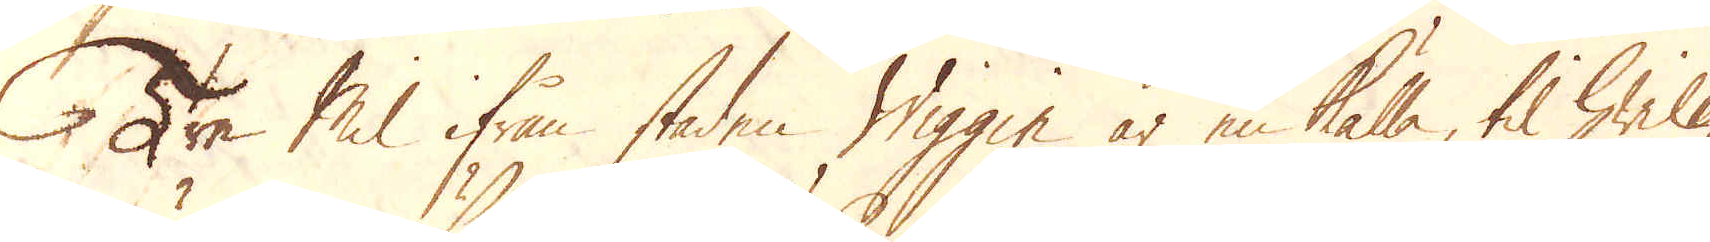Tre Mil ifrån staden Wiggin är en källa, til hwilken
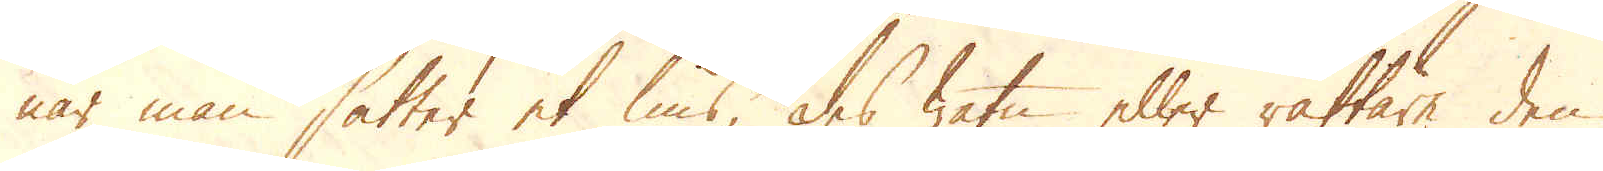när man sätter et lius, des watn eller rättare den
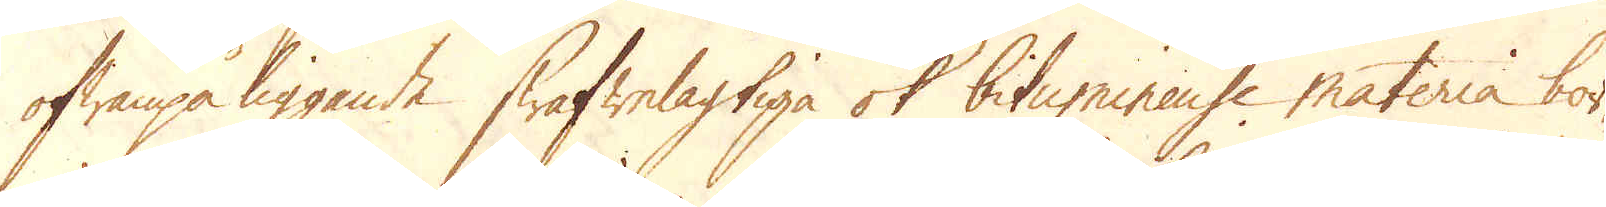ofwanpå liggande swafwelagtiga ok bitumineuse materia bör-
